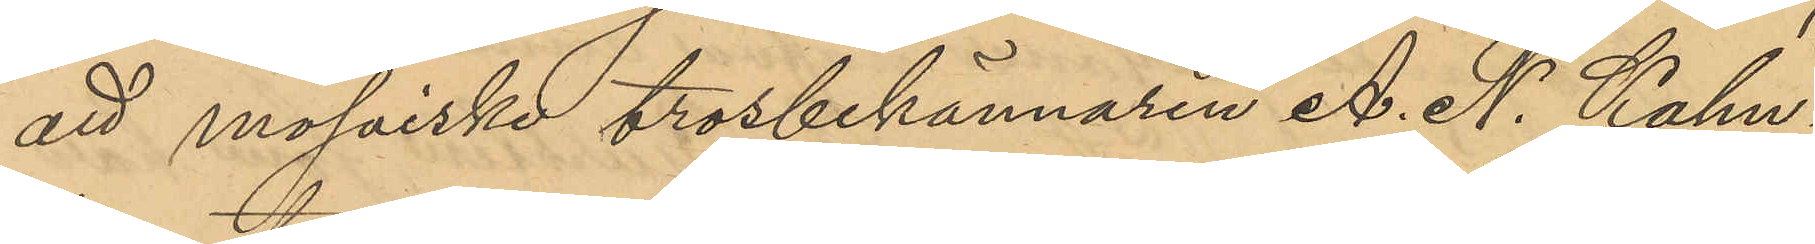att mosaiske trosbekännaren A. N. Kahn¬
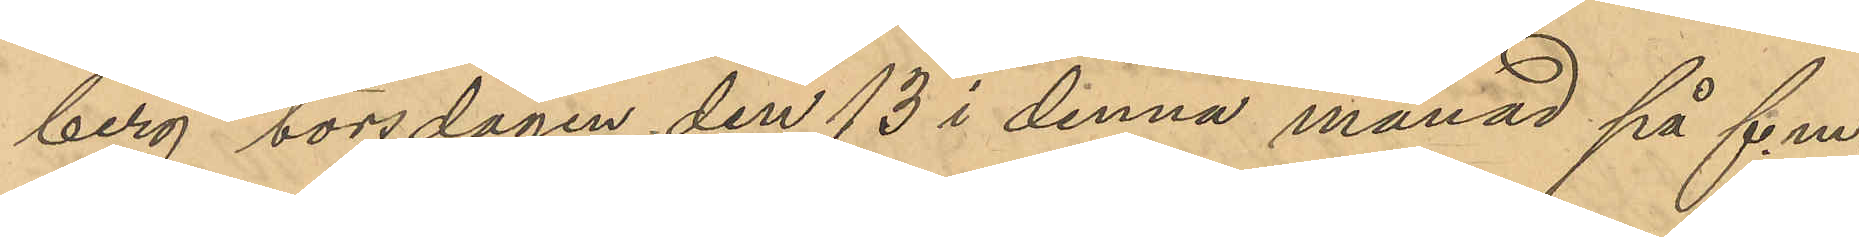berg torsdagen den 13 i denna månad på f. m.
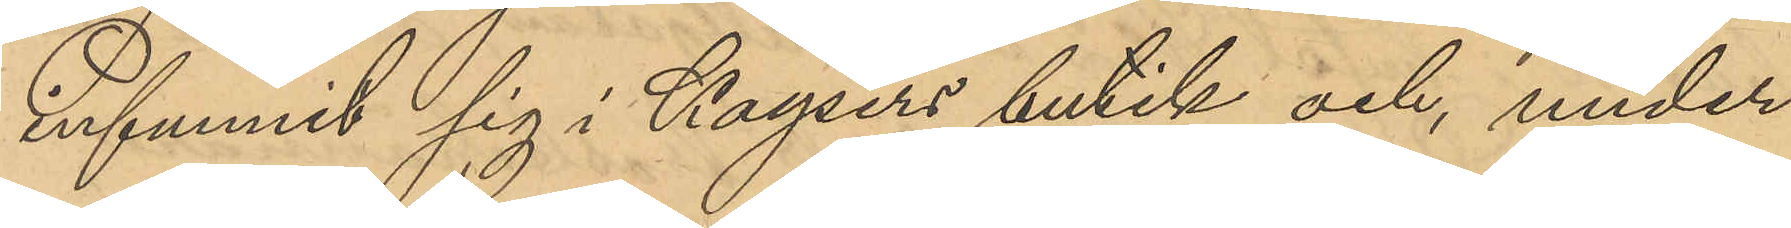infunnit sig i Kaysers butik och, under
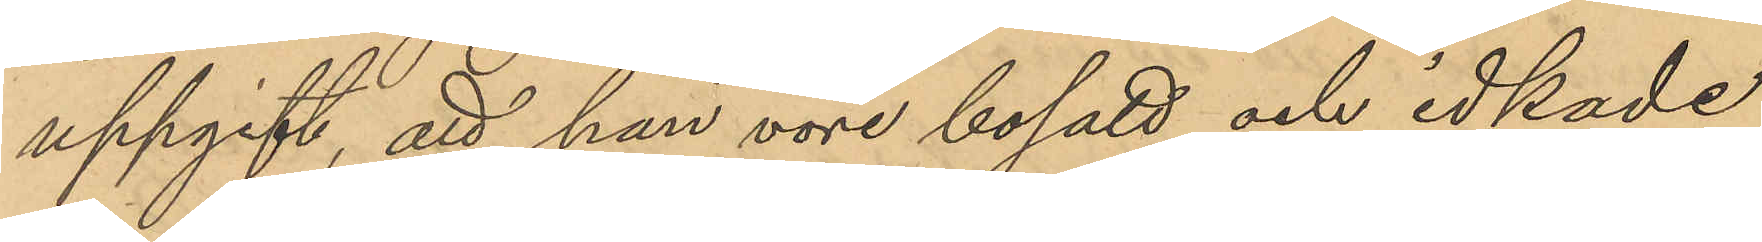uppgift, att han vore bosatt och idkade
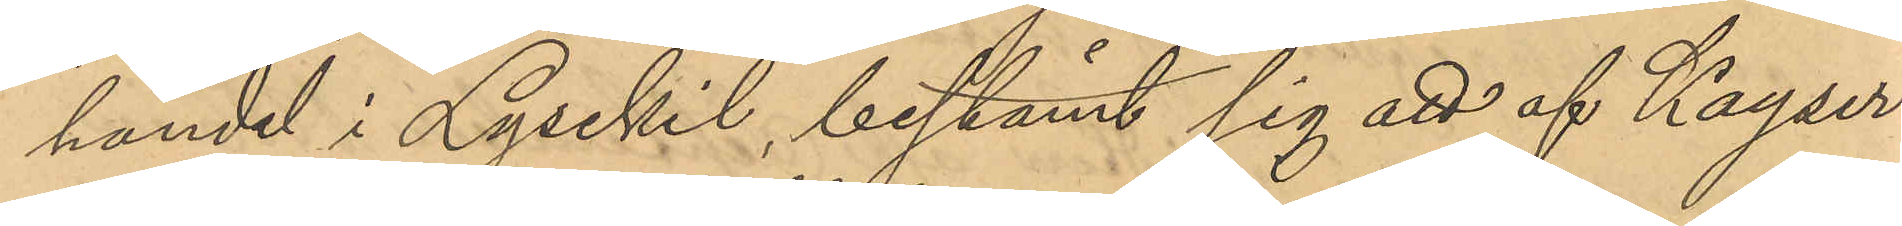handel i Lysekil, bestämt sig att af Kayser
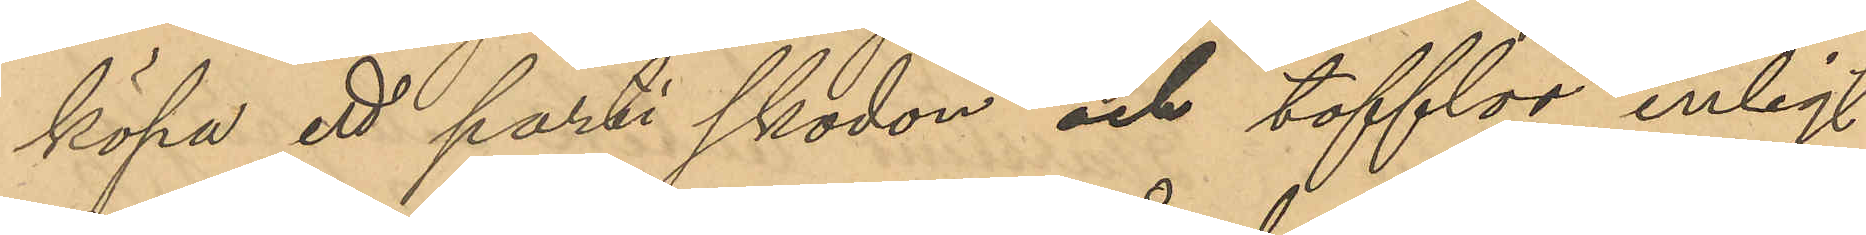köpa ett parti skodon och tofflor enligt
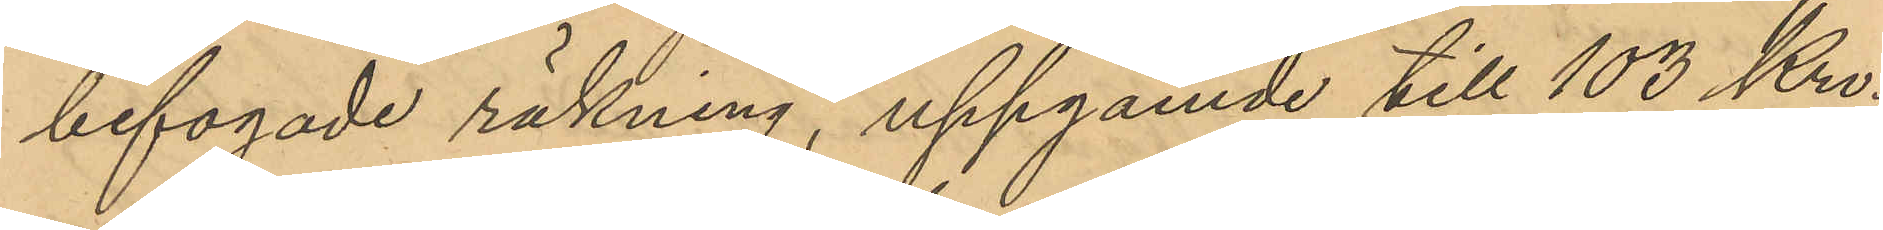bifogade räkning, uppgående till 103 Kro¬
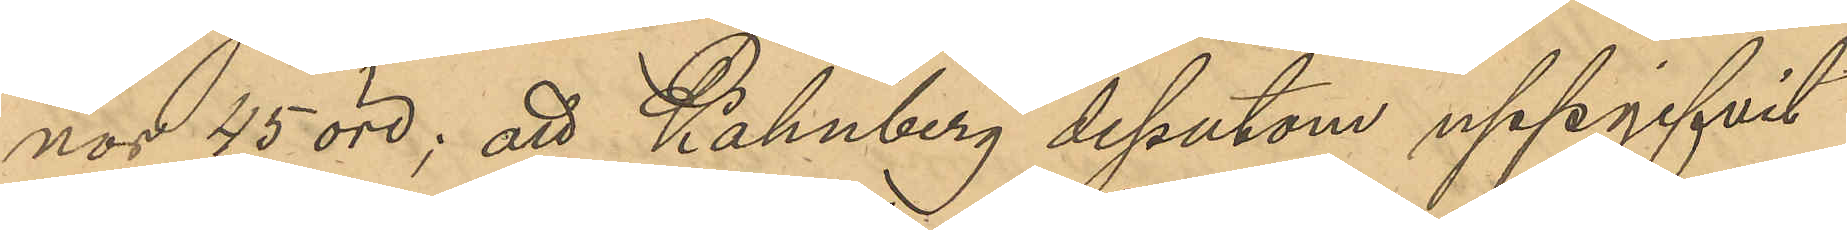nor 45 öre; att Kahnberg dessutom uppgifvit
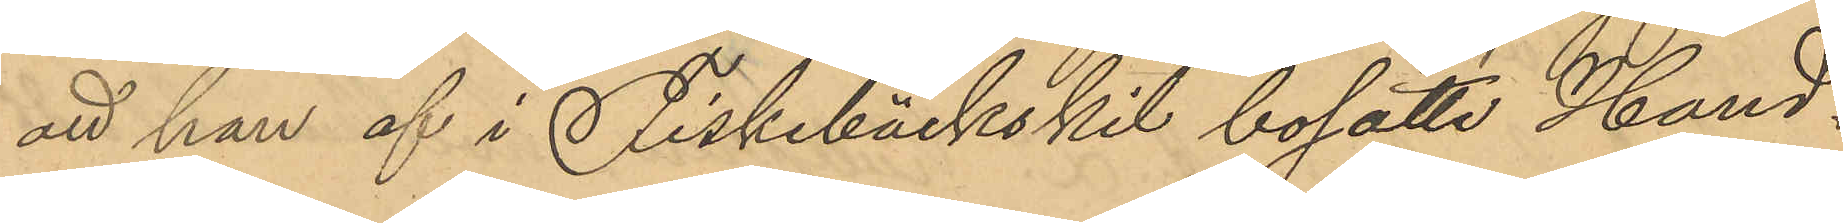att han af i Fiskebäckskil bosatte Hand¬
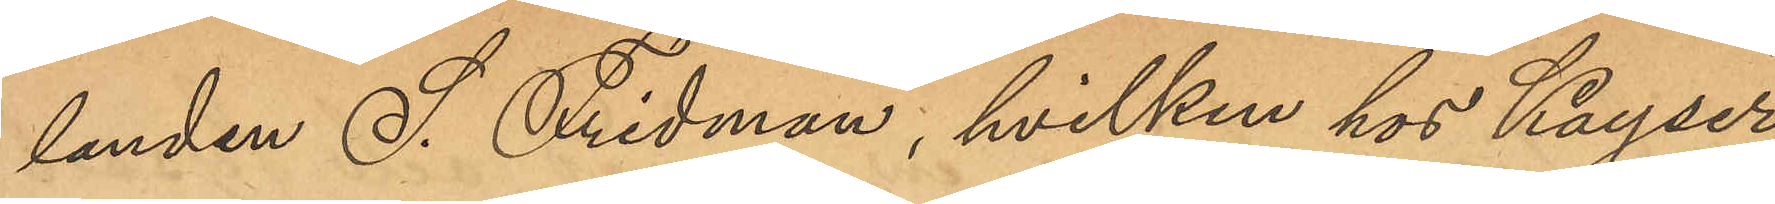landen S. Fridman, hvilken hos Kayser
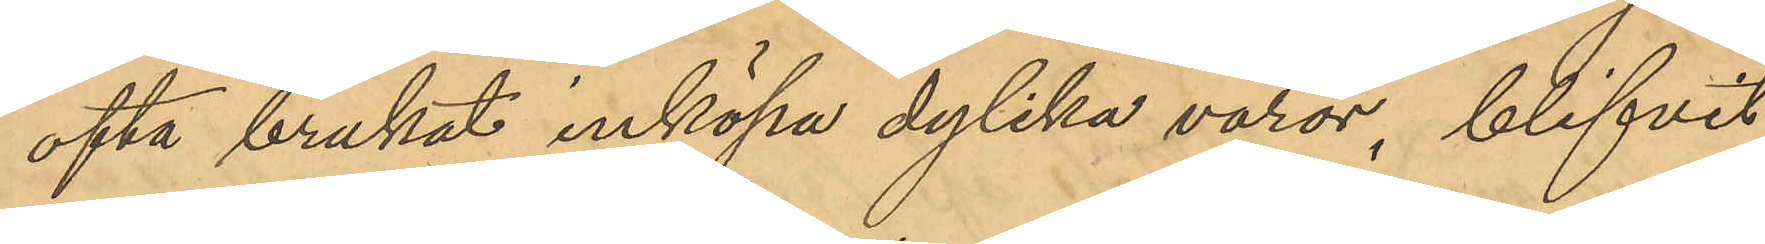ofta brukat inköpa dylika varor, blifvit
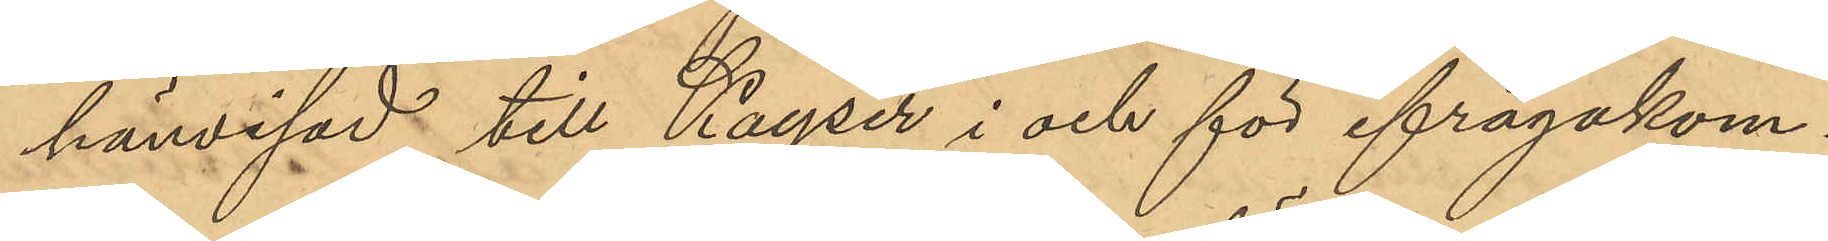hänvisad till Kayser i och för ifrågakom¬
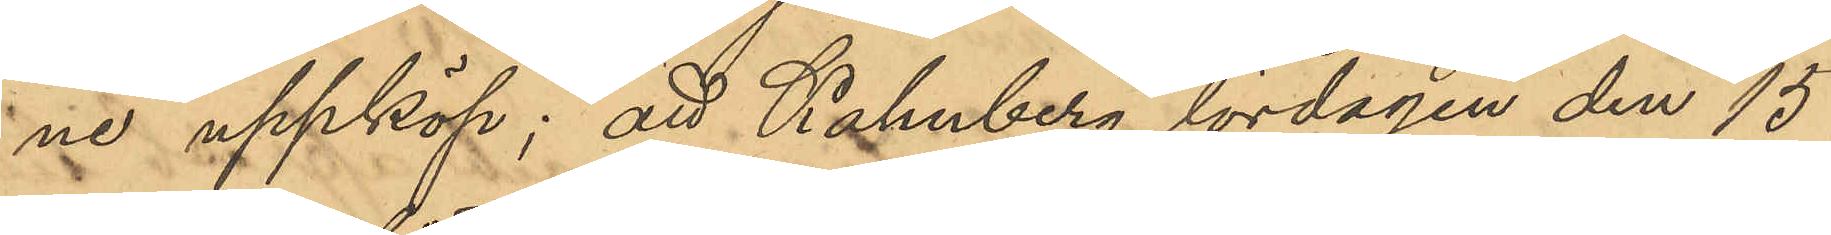ne uppköp; att Kahnberg lördagen den 15
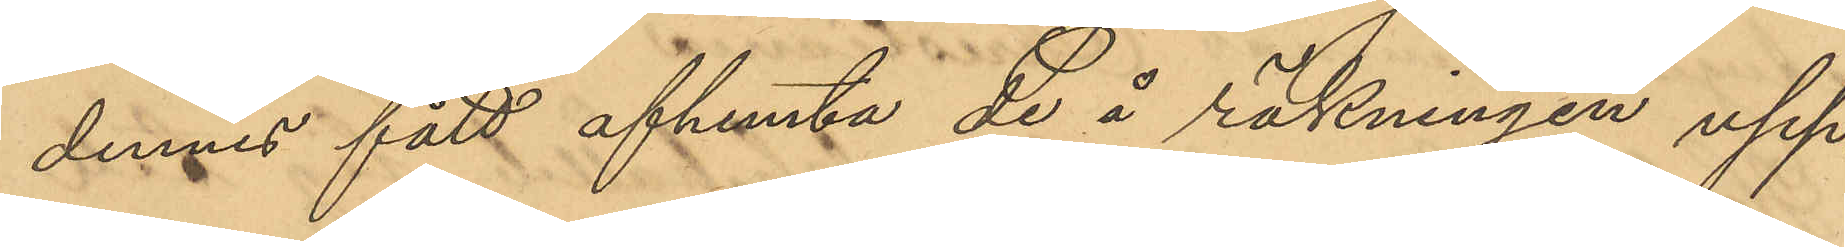dennes fått afhemta de å räkningen upp¬
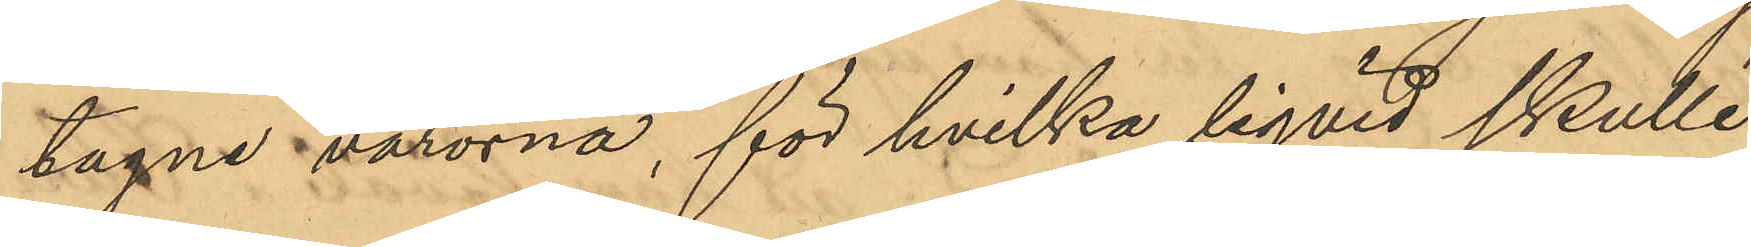tagne varorna, för hvilka liqvid skulle
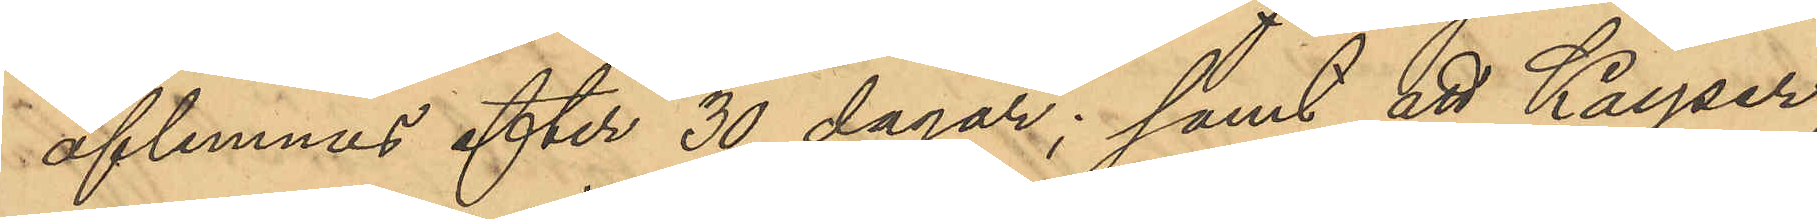aflemnas efter 30 dagar; samt att Kayser,
